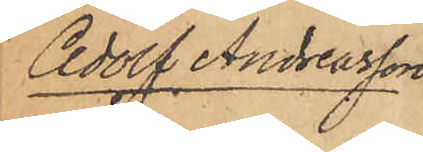Adolf Andreasson
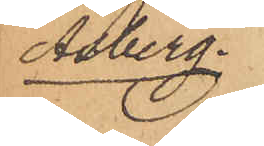Åsberg.
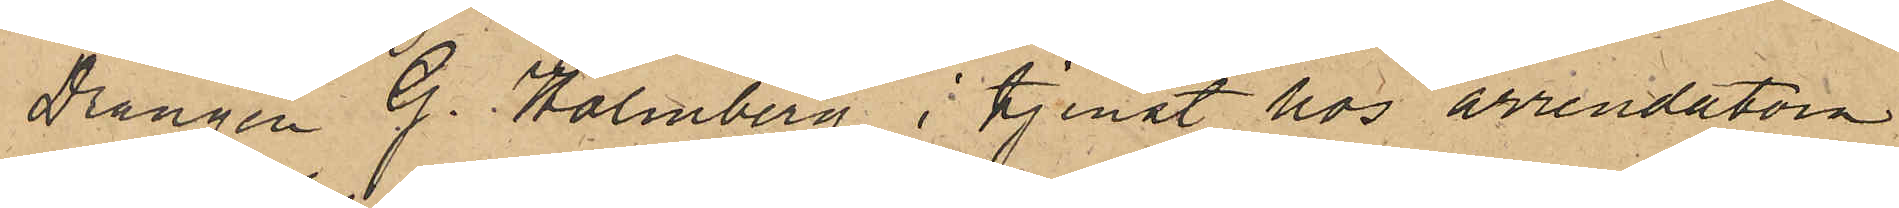Drängen G. Holmberg i tjenst hos arrendatorn
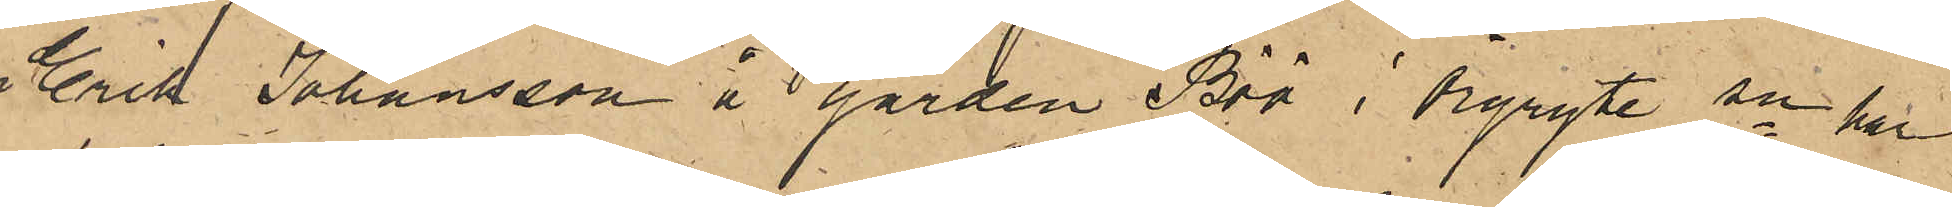Erik Johansson å gården Böö i Örgryte sn har
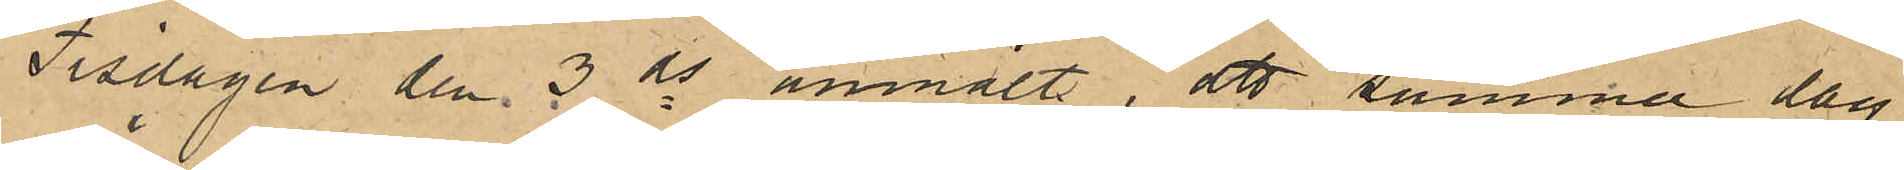Tisdagen den 3 ds anmält, att samma dag
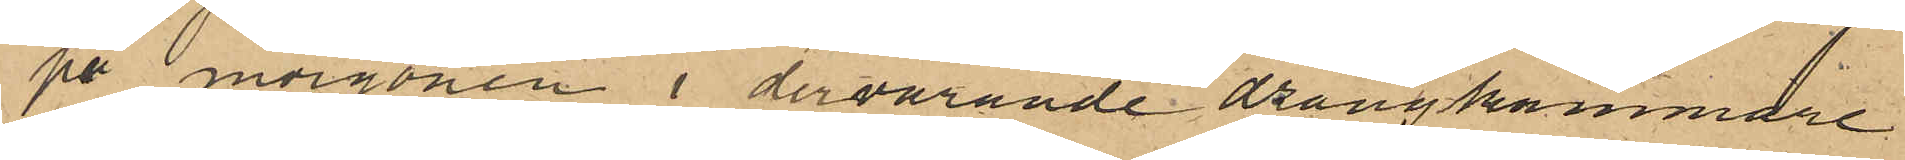på morgonen i dervarande drängkammare
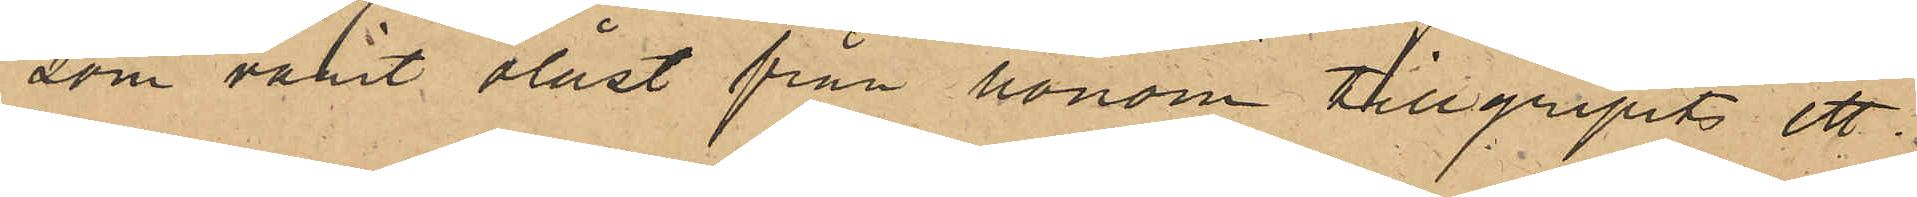som varit olåst från honom tillgripits ett
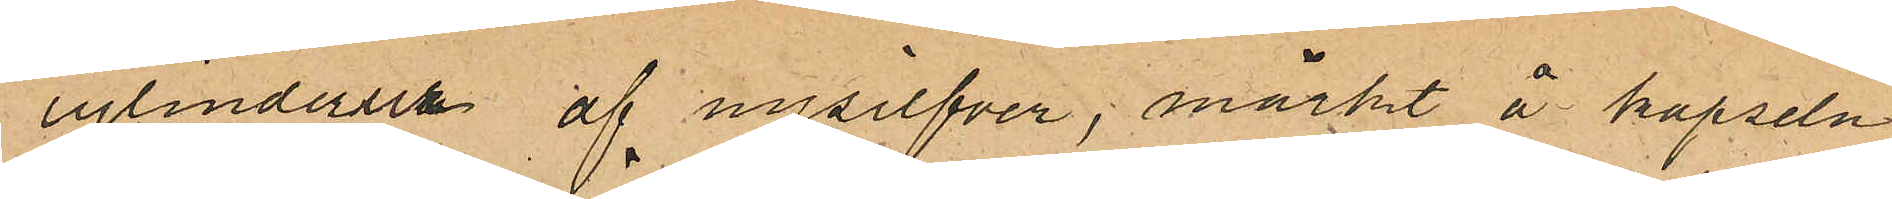cylinderur af nysilfver, märkt å kapseln
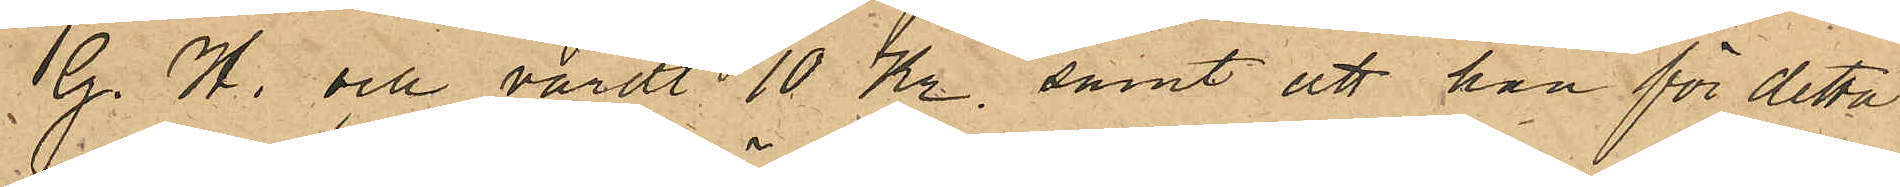G. H. och värdt 10 Kr. samt att han för detta
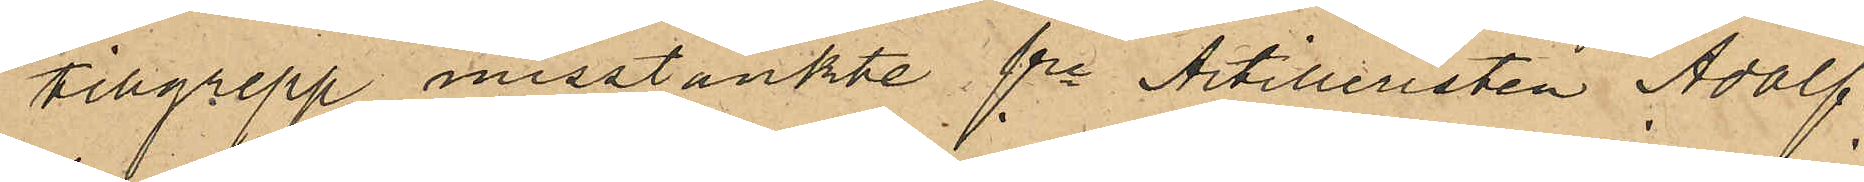tillgrepp misstänkte fre Artilleristen Adolf
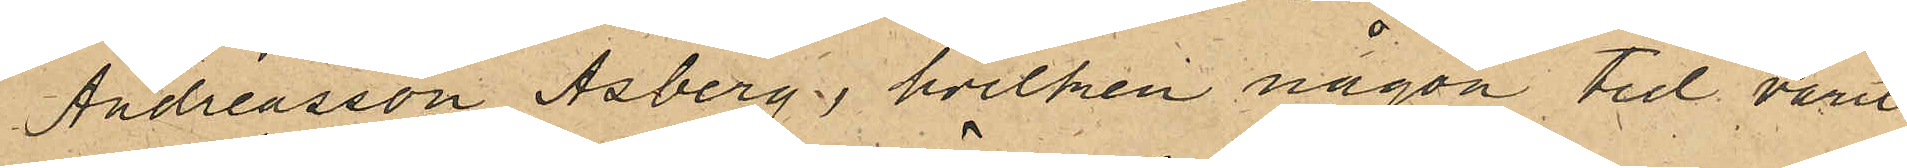Andreasson Åsberg, hvilken någon tid varit
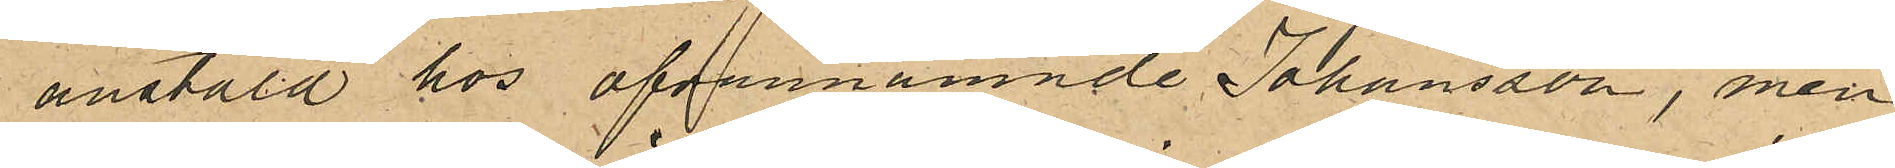anstäld hos ofvannämnde Johansson, men
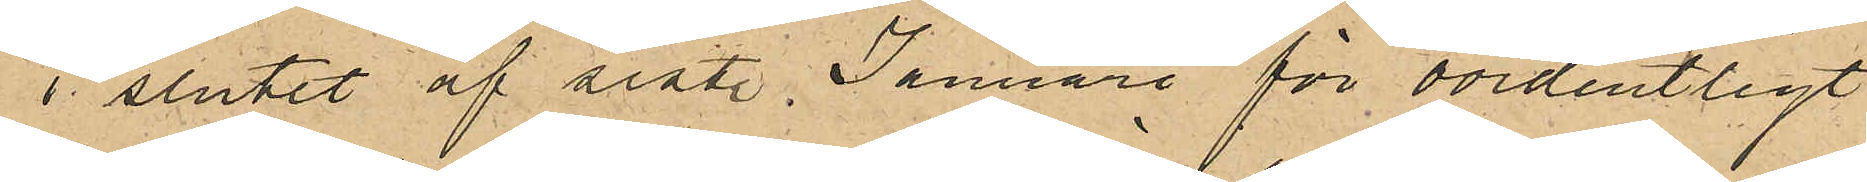i slutet af sistl Januari för oordentligt
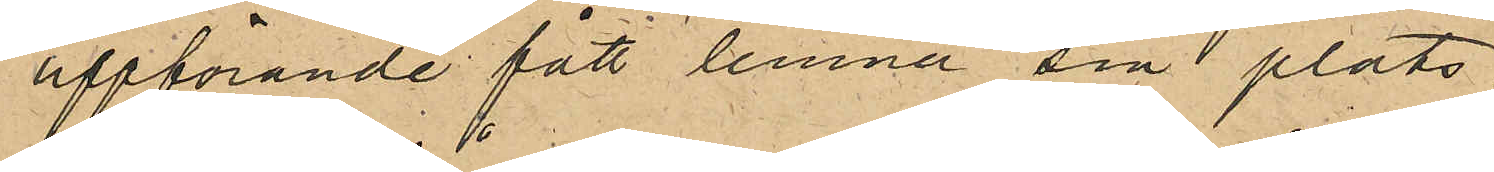uppförande fått lemna sin plats,
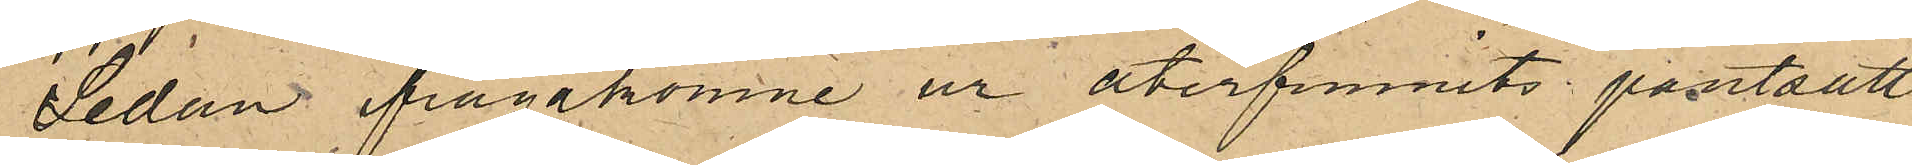Sedan ifrågakomne ur återfunnits pantsatt
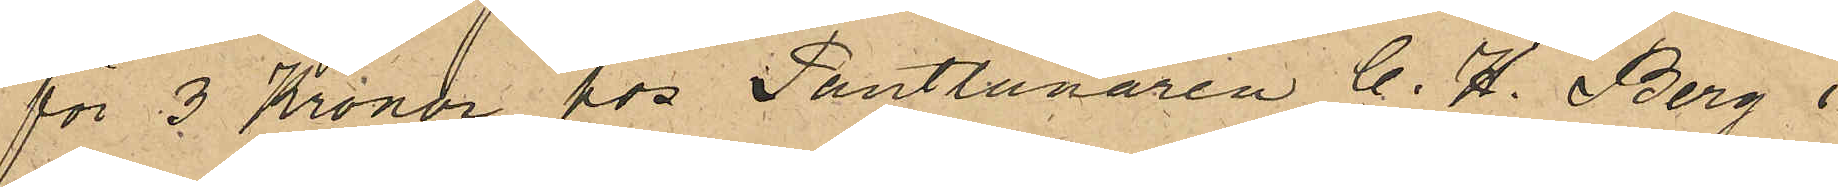för 3 Kronor hos Pantlånaren C. H. Berg i
